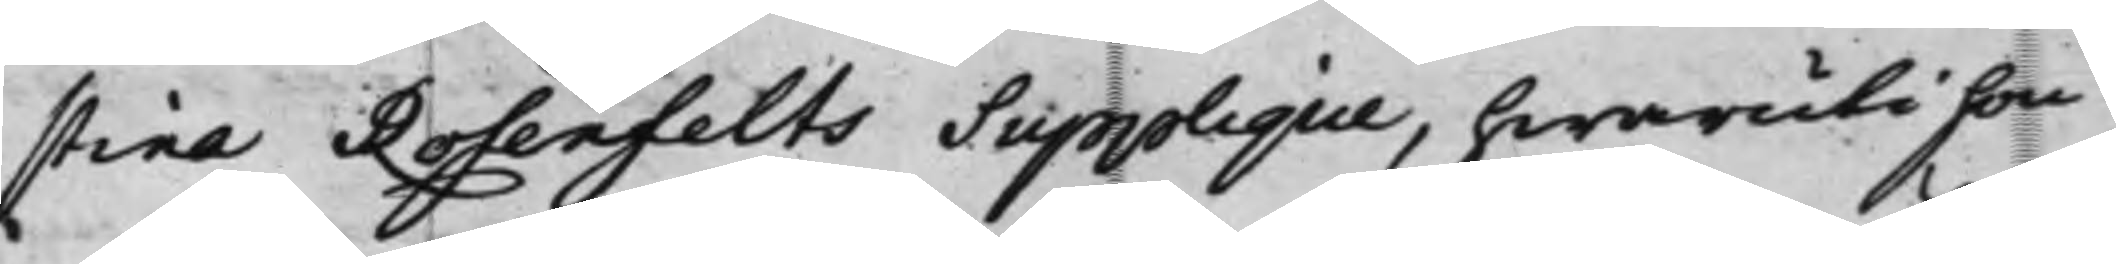stina Rosenfelts Supplique, hwaruti hon
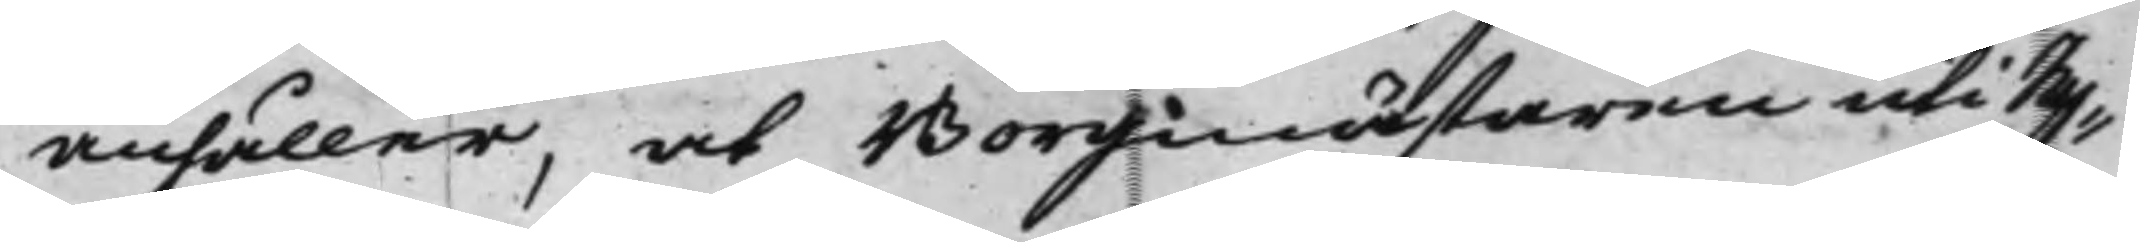anhåller, at Borgmästaren uti Ny¬
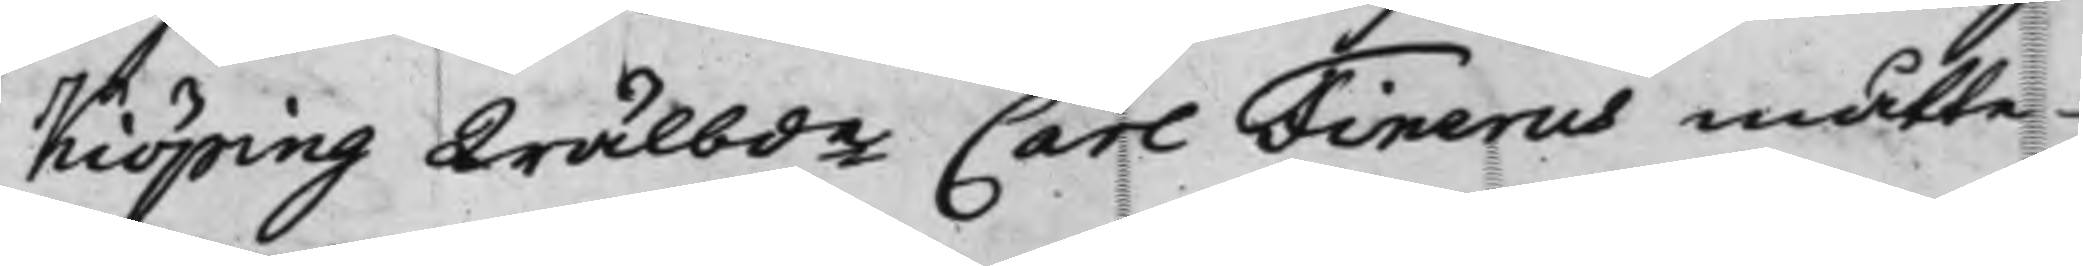köping Wälbde Carl Finerus måtte
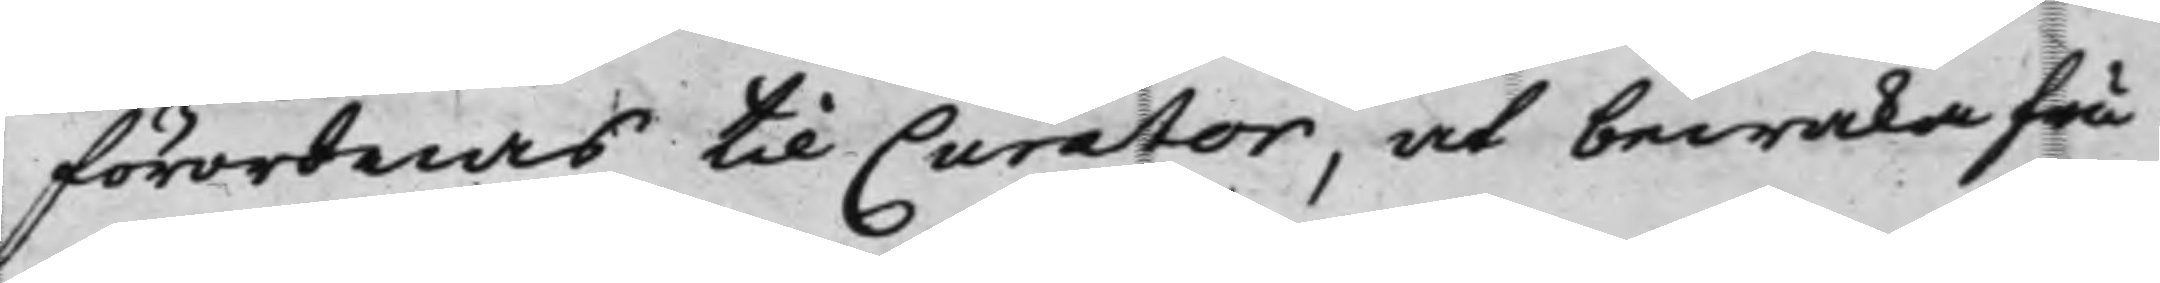förordnas til Curator, at bewaka fru
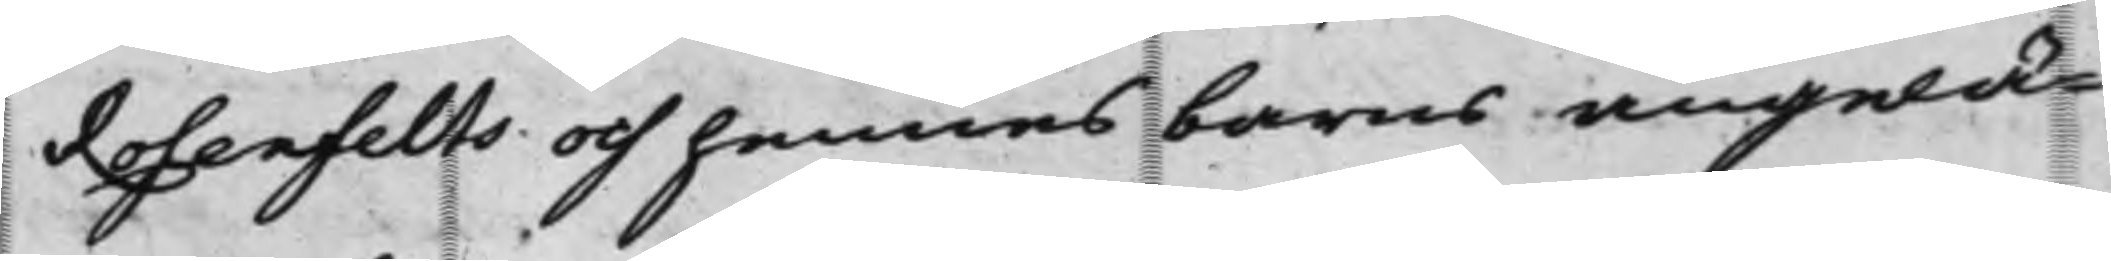Rosenfelts och hennes barns angelä¬
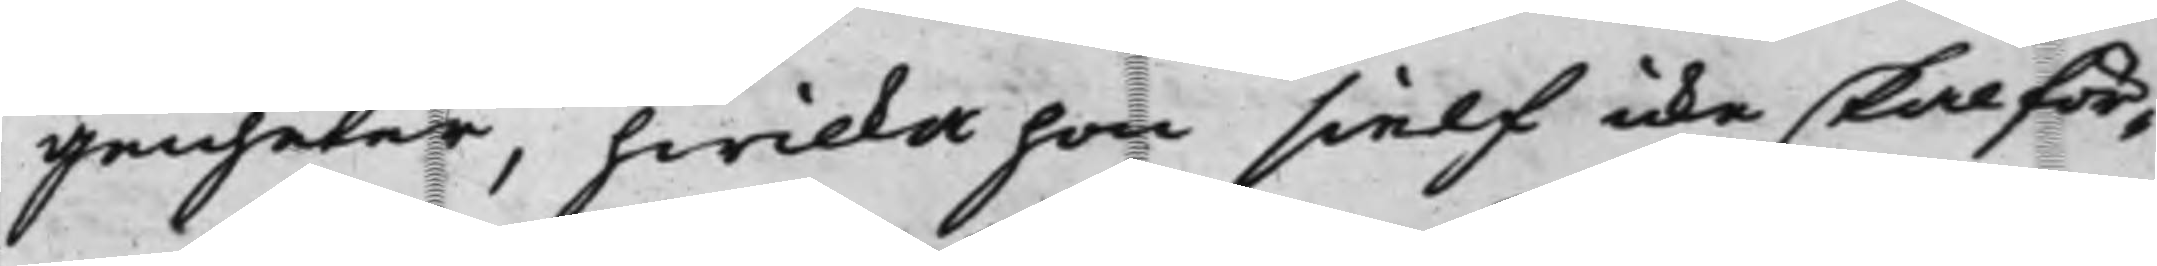genheter, hwilka hon sielf icke skal för¬
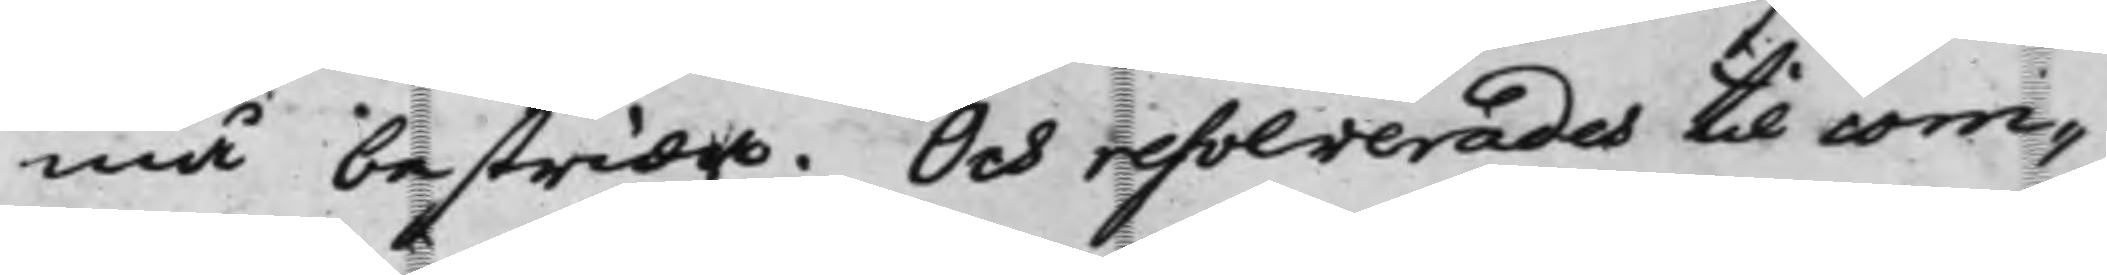må bestrida. Och resolverades til com¬
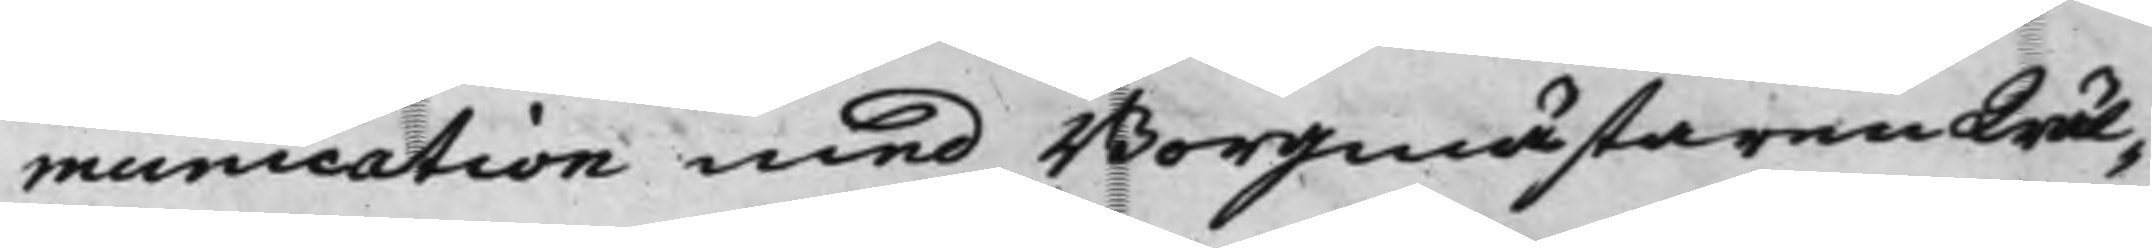munication med Borgmästaren Wäl¬
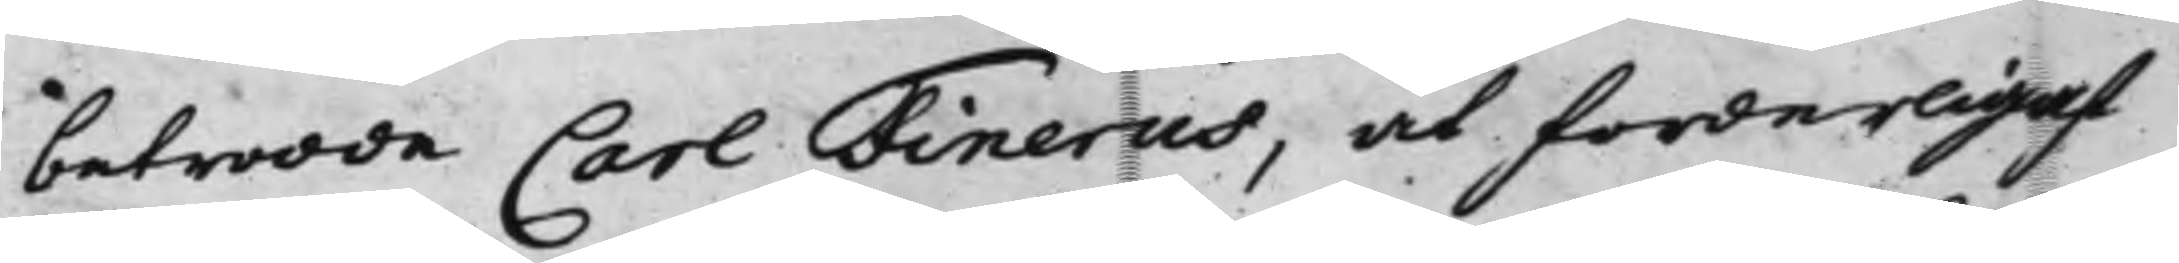betrodde Carl Finerus, at forderligast
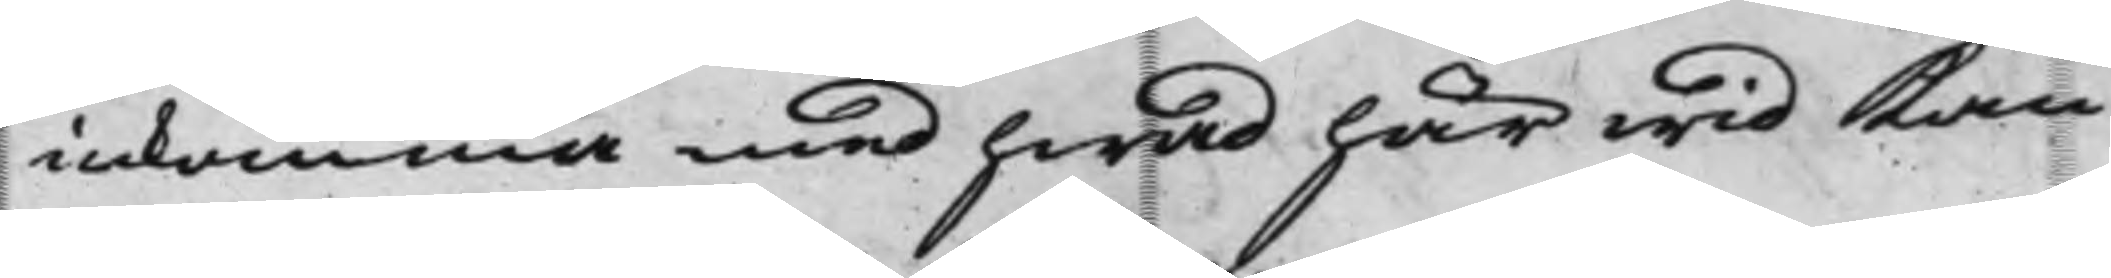inkomma med hwad här wid Kan
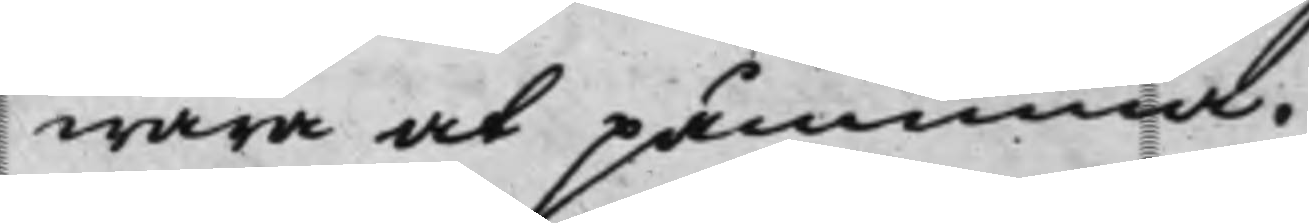wara at påminna.
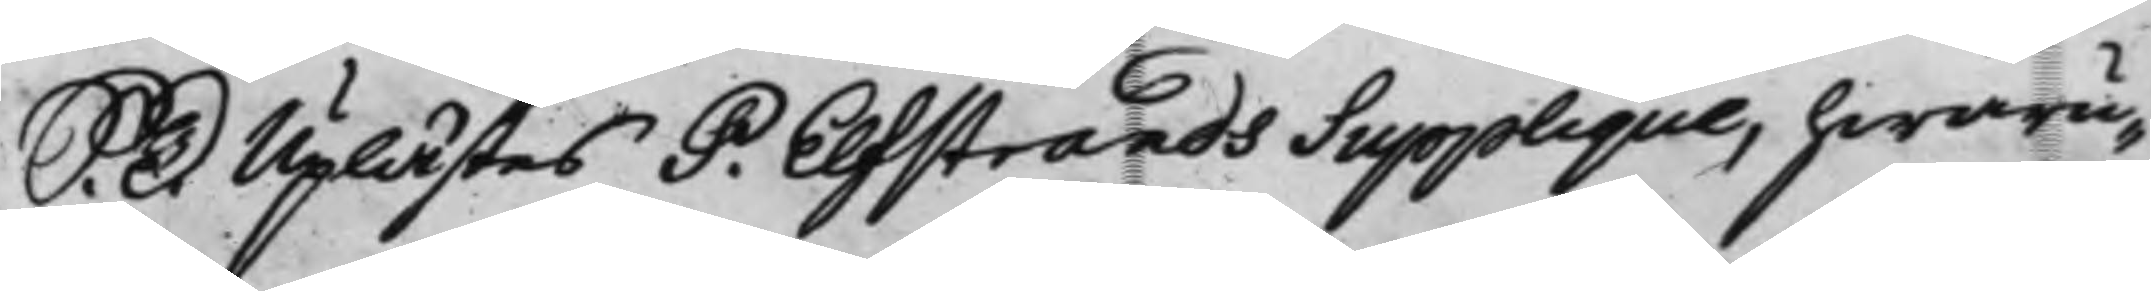S. D. Uplästes P. Elfstrands Supplique hwaru¬
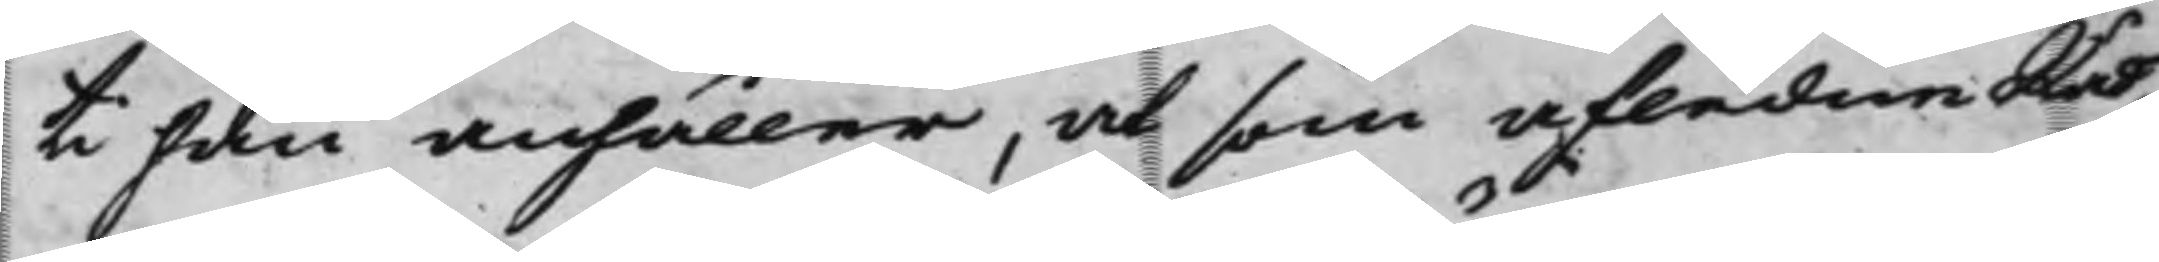ti han anhåller, at som afledne Råd¬
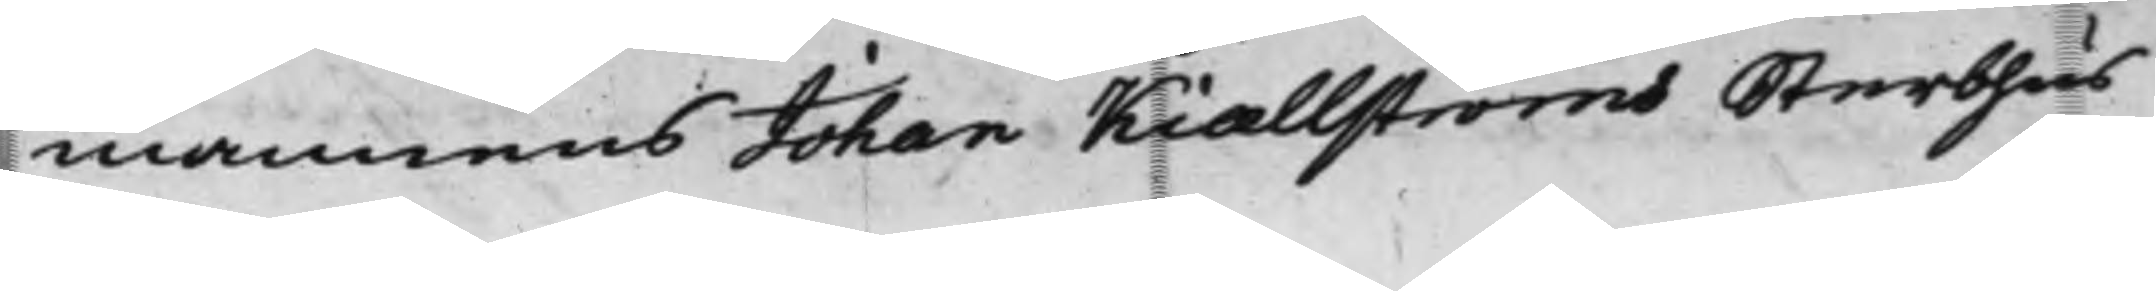mannens Johan Kiællströms Sterbhus
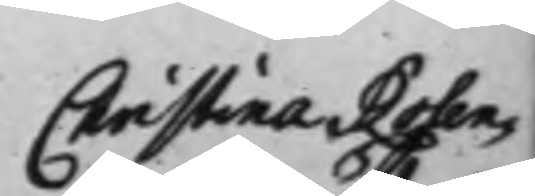Christina Rosen¬
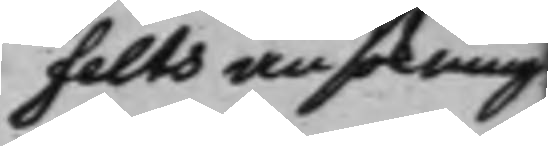felts ansökning
